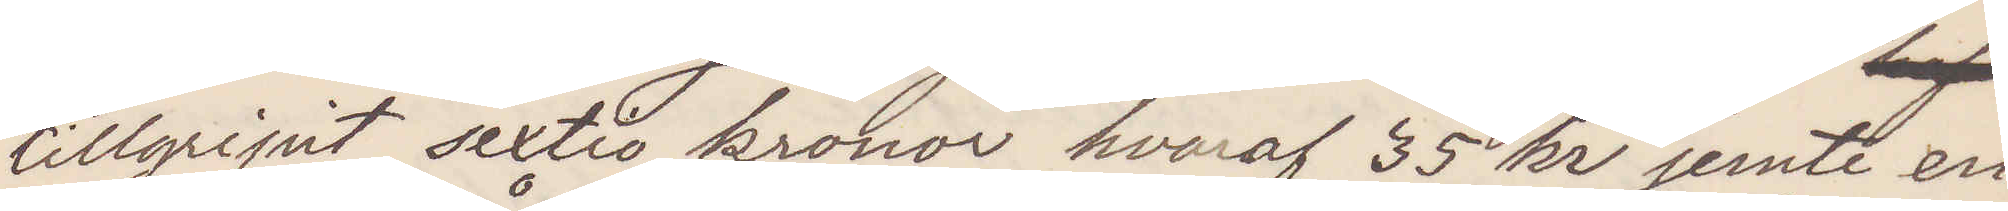tillgripit sextio kronor hvaraf 35 kr jemte en
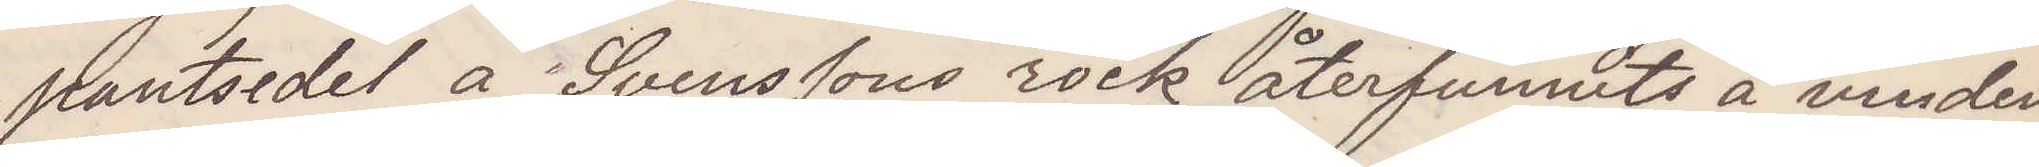pantsedel å Svenssons rock återfunnits å vinden
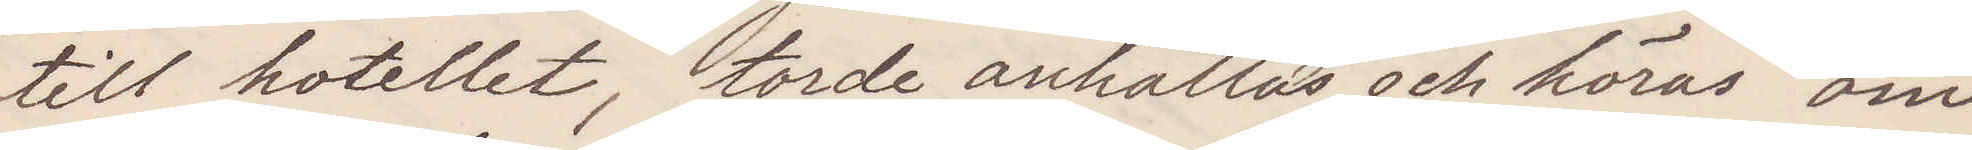till hotellet, torde anhållas och höras om
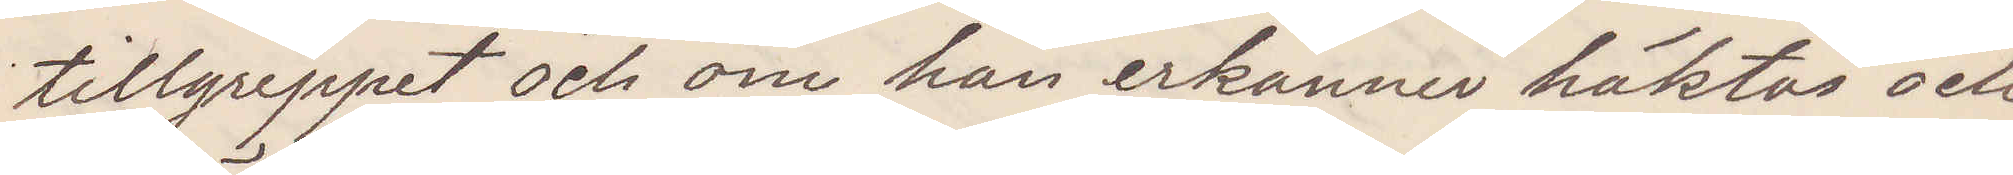tillgreppet och om han erkänner häktas och 
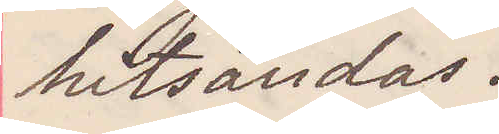hitsändas.
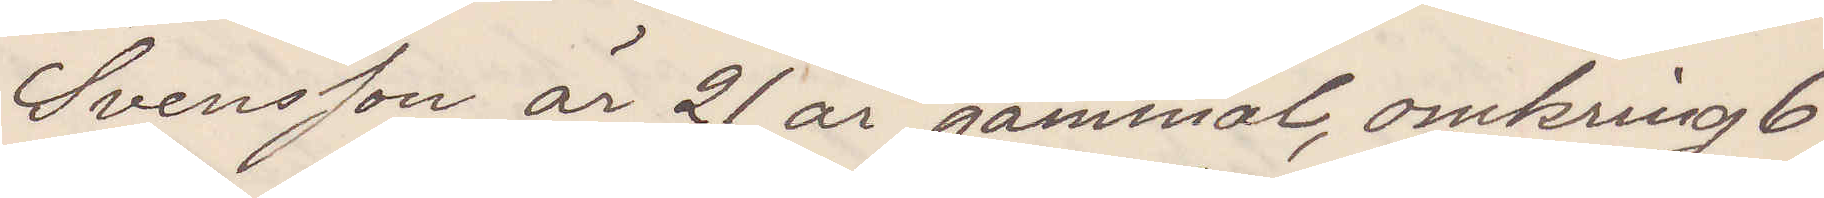Svensson är 21 år gammal, omkring 6
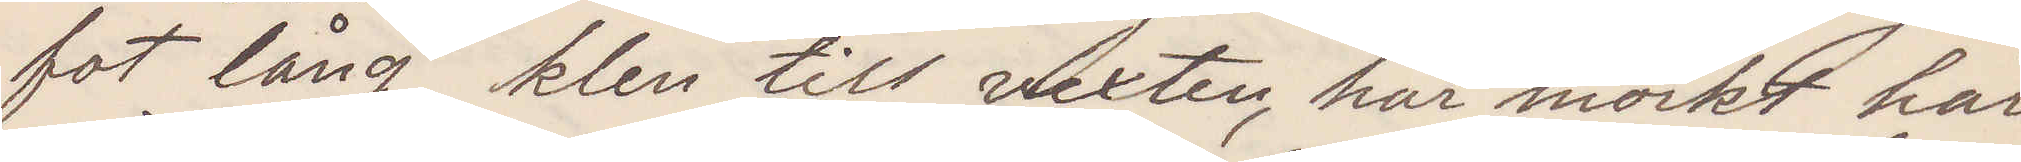fot lång, klen till vexten, har mörkt hår
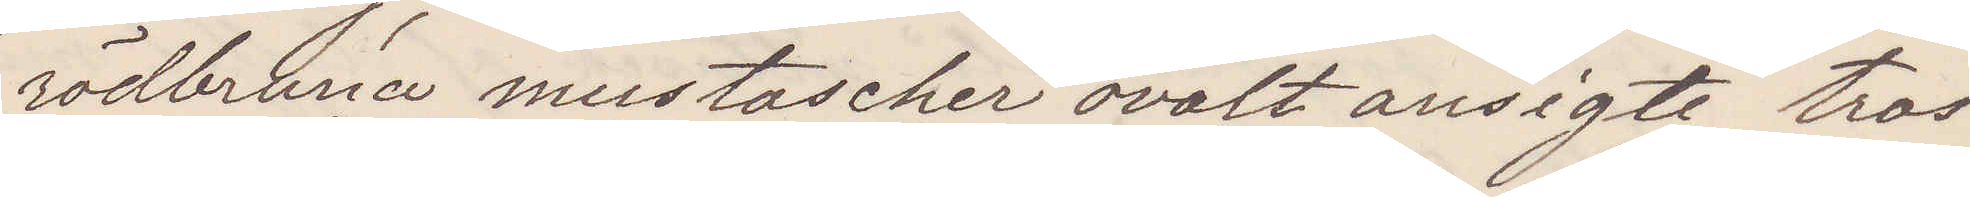rödbruna mustascher ovalt ansigte tros
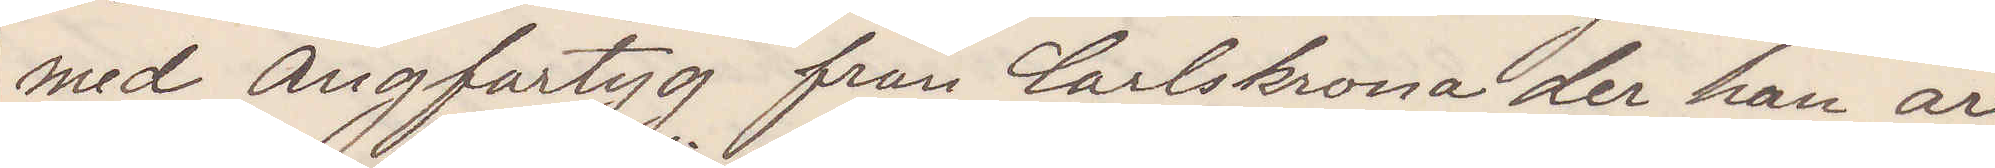med Ångfartyg från Carlskrona der han är
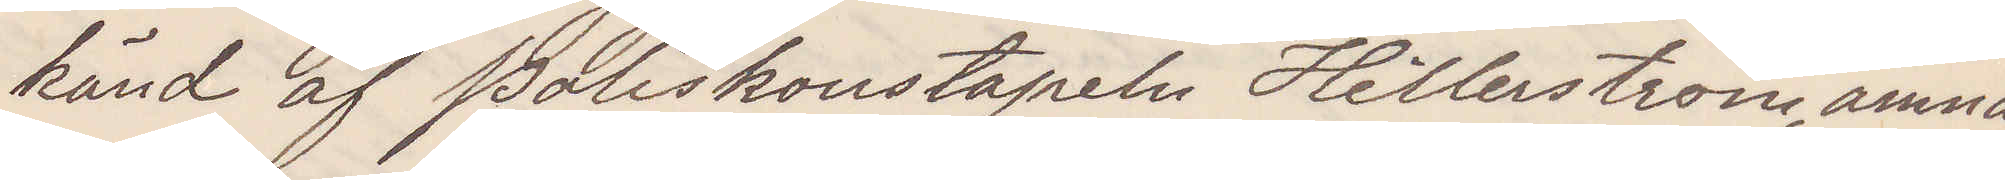känd af Poliskonstapeln Hillerström, ämna
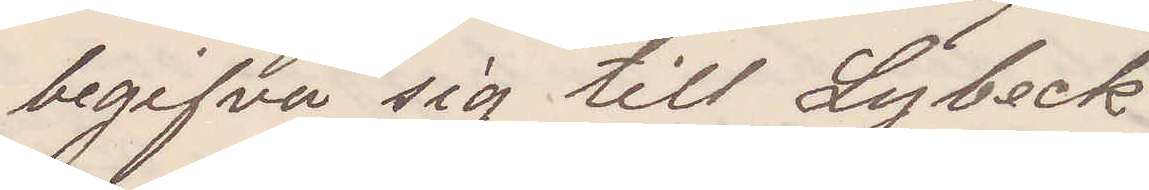begifva sig till Lybeck.
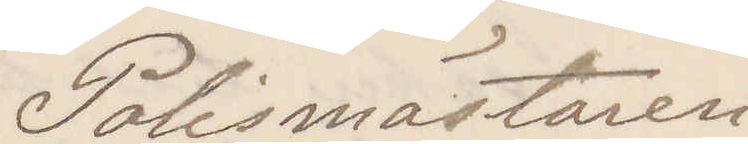Polismästaren
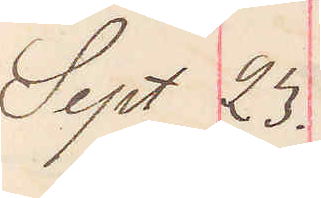Sept 23.
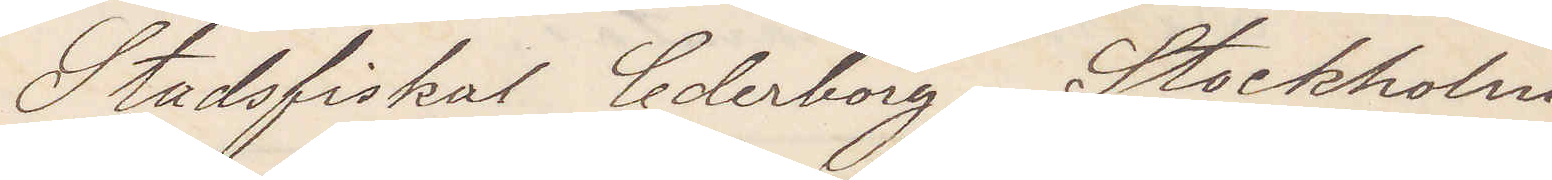Stadsfiskal Cederborg Stockholm
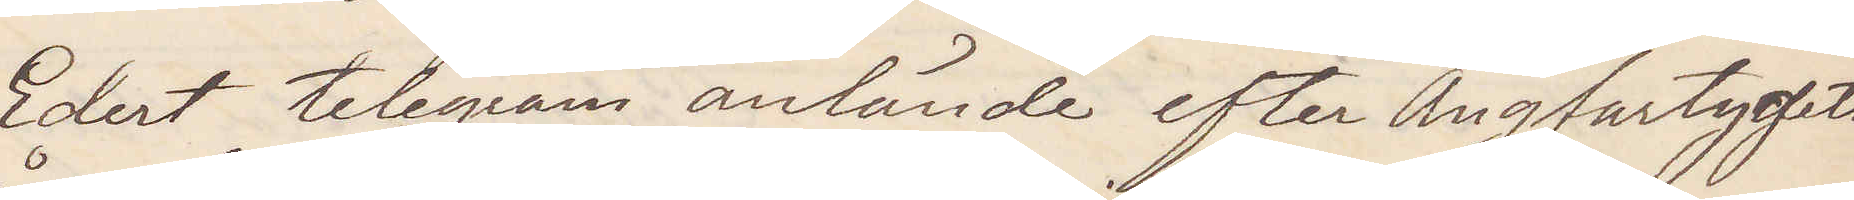Edert telegram anlände efter Ångfartygets
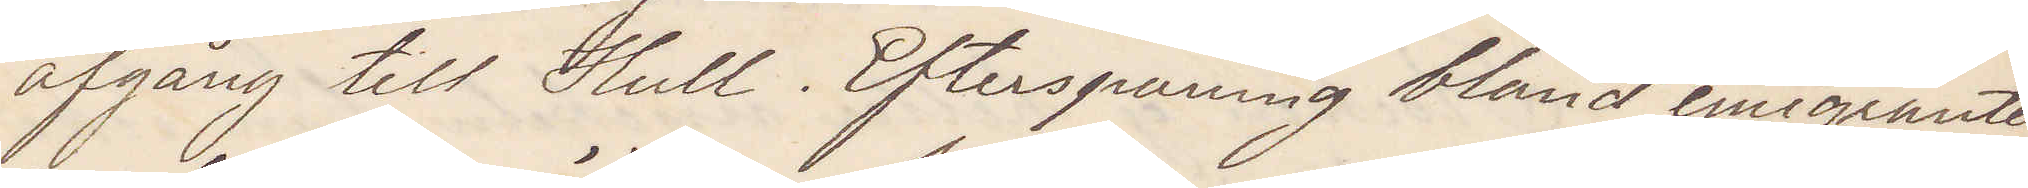afgång till Hull. Efterspaning bland emigranter¬
